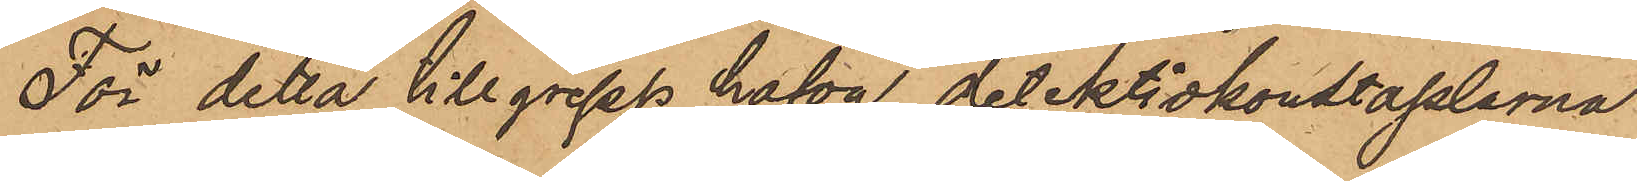För detta tillgrepp hafva detektivkonstaplarna
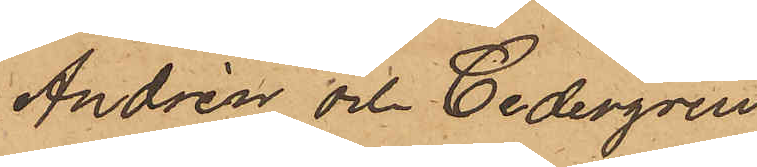Andrén och Cedergren
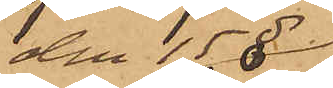den 15 
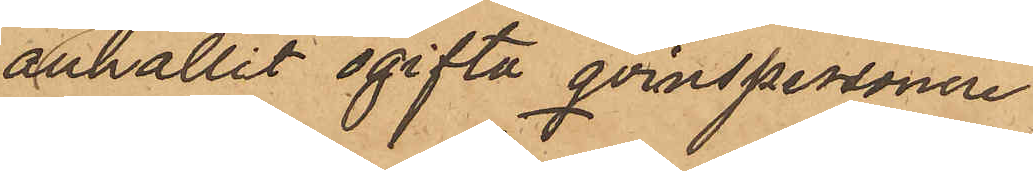anhållit ogifta qvinspersonen
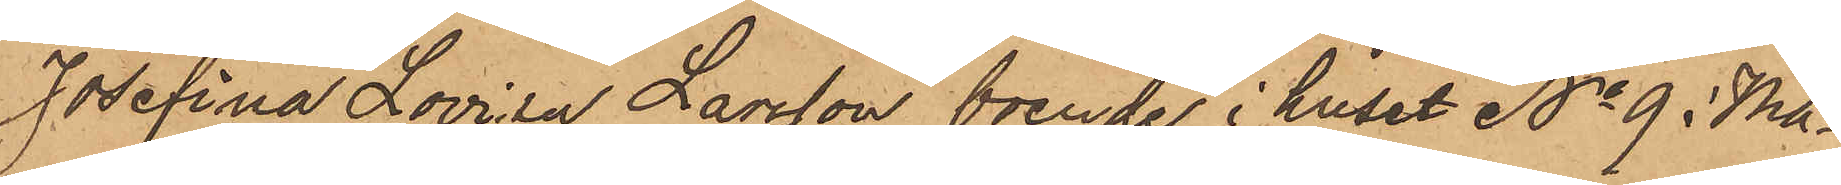Josefina Lovisa Larsson, boende i huset No 9 i Ma¬
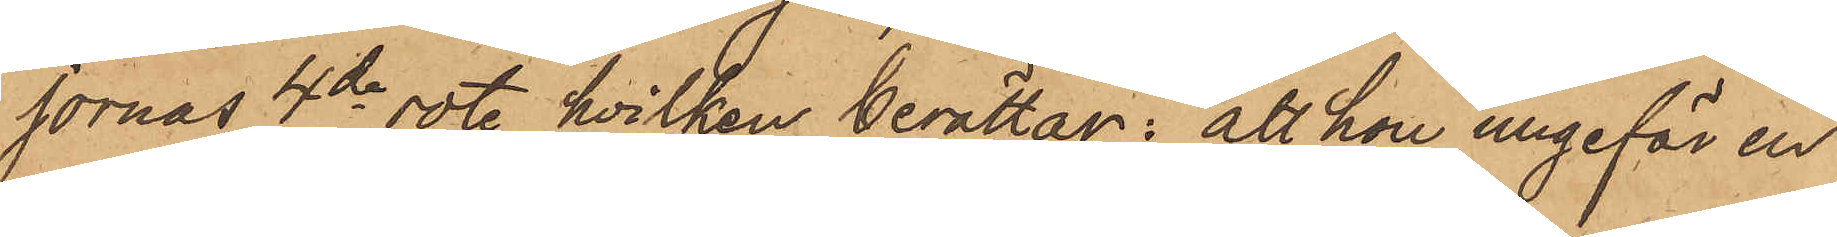jornas 4de rote, hvilken berättar; att hon ungefär en
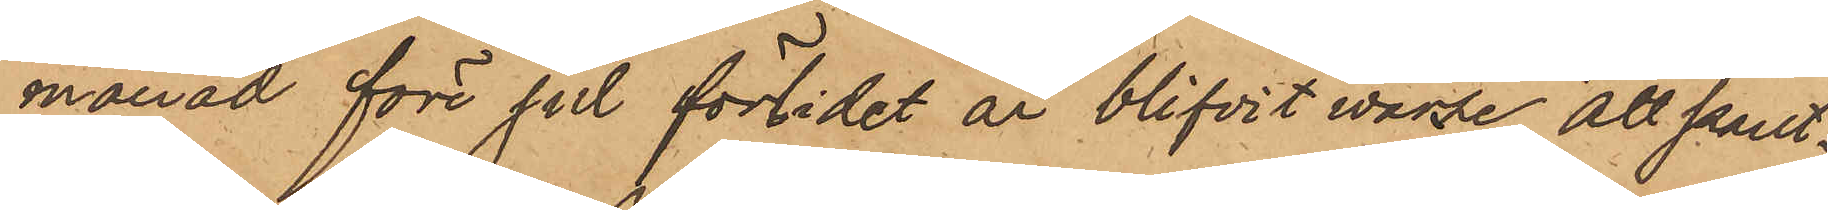månad före jul förlidet år blifvit varse att pant¬
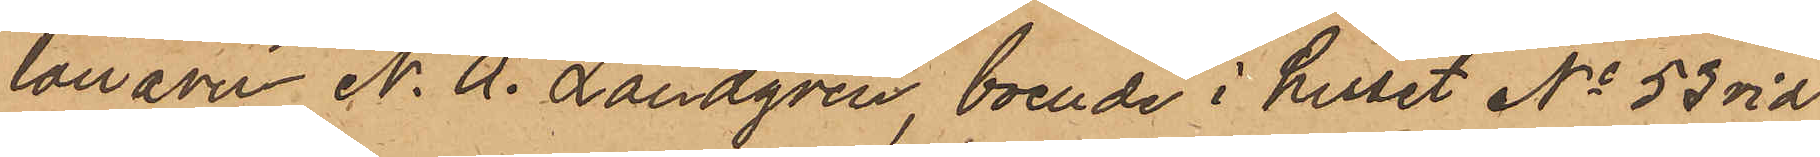lånaren N. A. Landgren, boende i huset No 53 vid
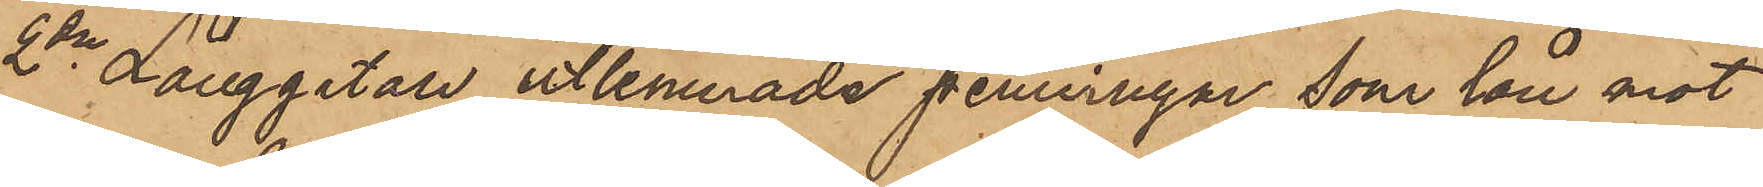2dra Långgatan, utlemnade penningar, som lån mot
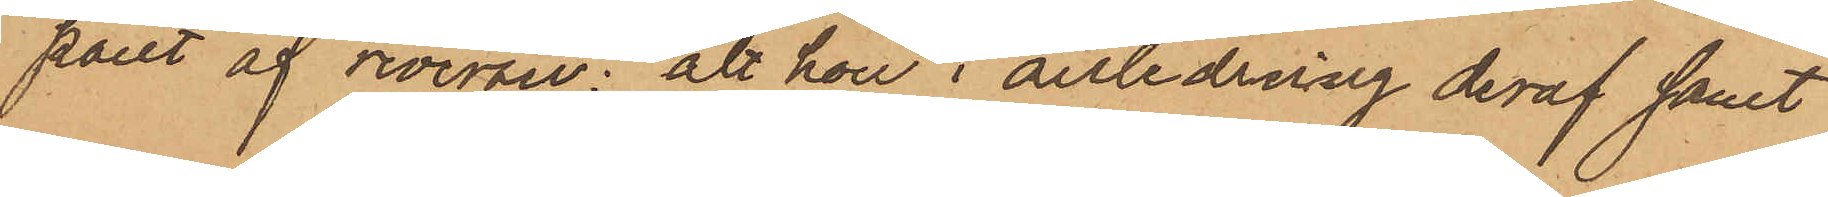pant af reversen; att hon i anledning deraf samt
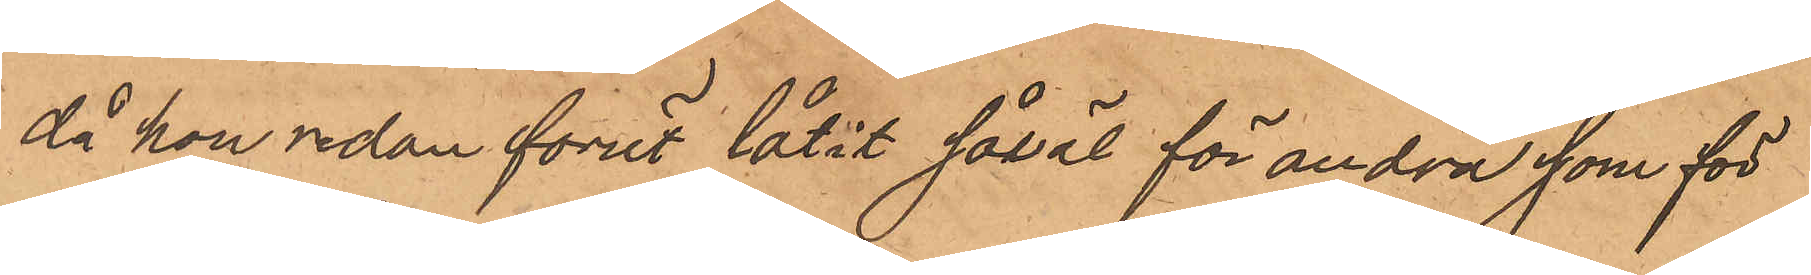då hon sedan förut låtit såväl för andra, som för
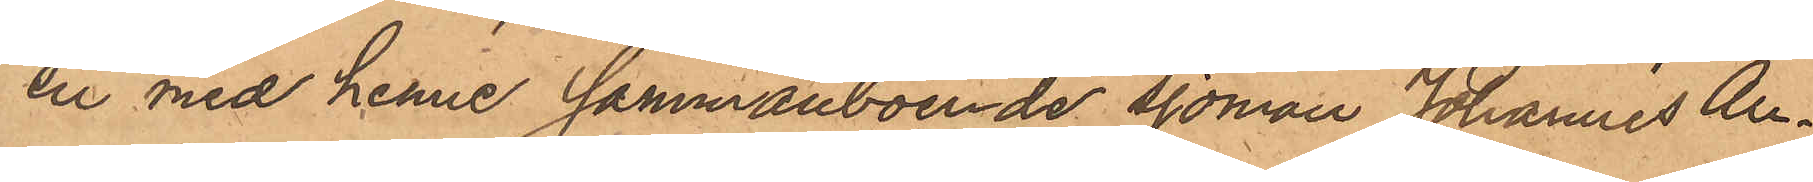en med henne sammanboende sjöman Johannes An¬
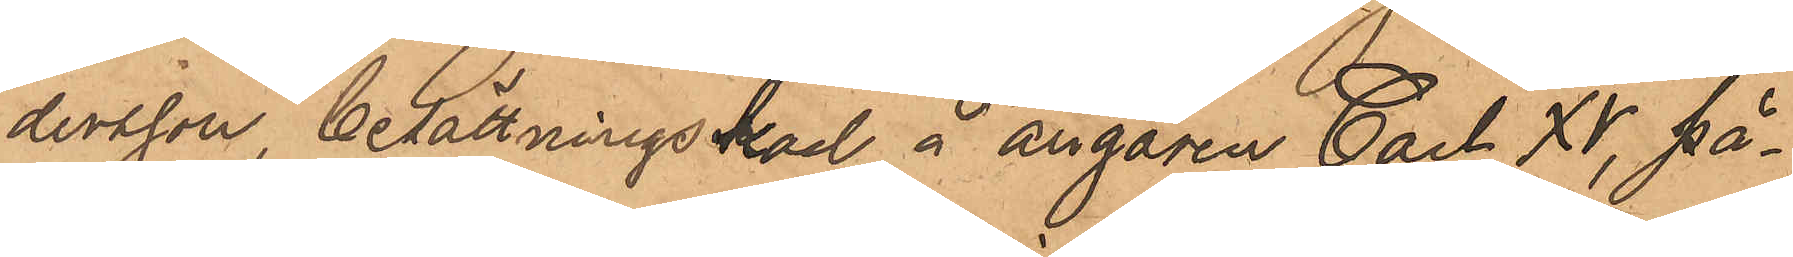dersson, besättningskarl å ångaren Carl XV, på¬
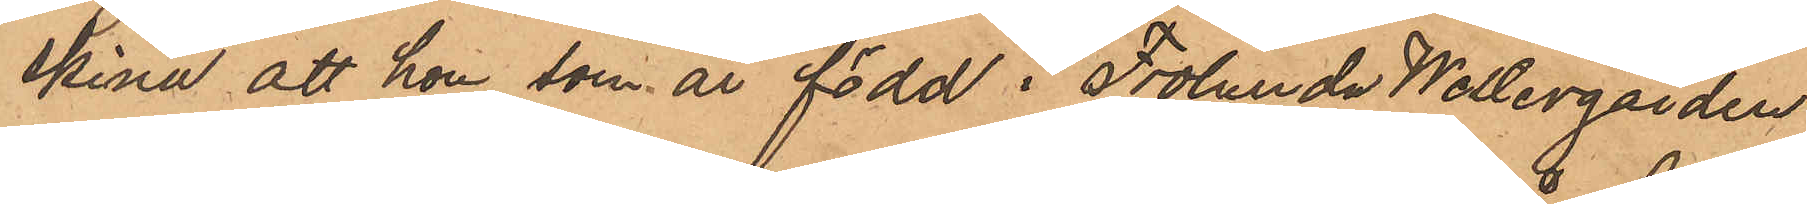skina att hon, som är född i Frölunda Westergården
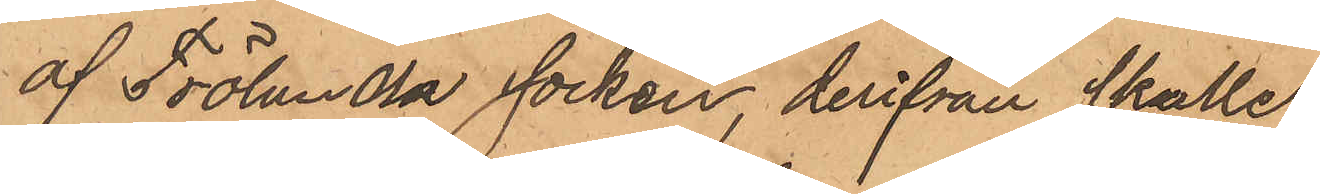af Frölunda socken, derifrån skulle
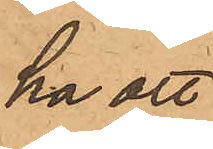ha att
